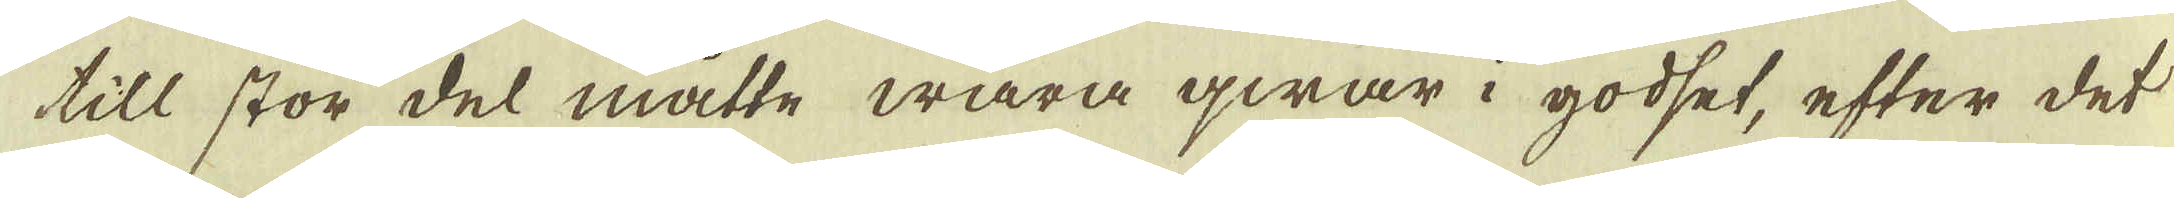till stor del måtte wara qwar i godset, efter det
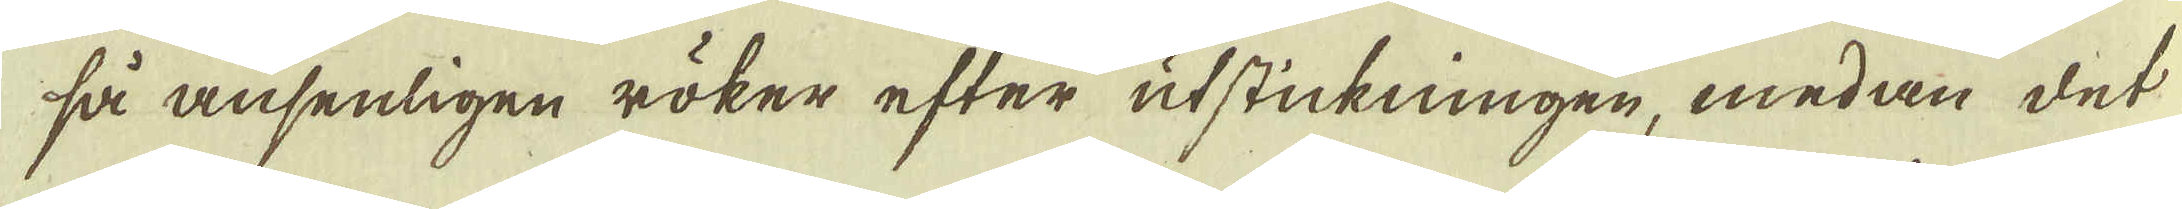så ansenligen röker efter utstickningen, medan det
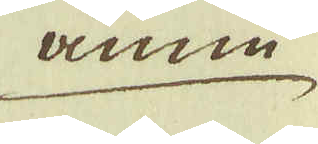änne
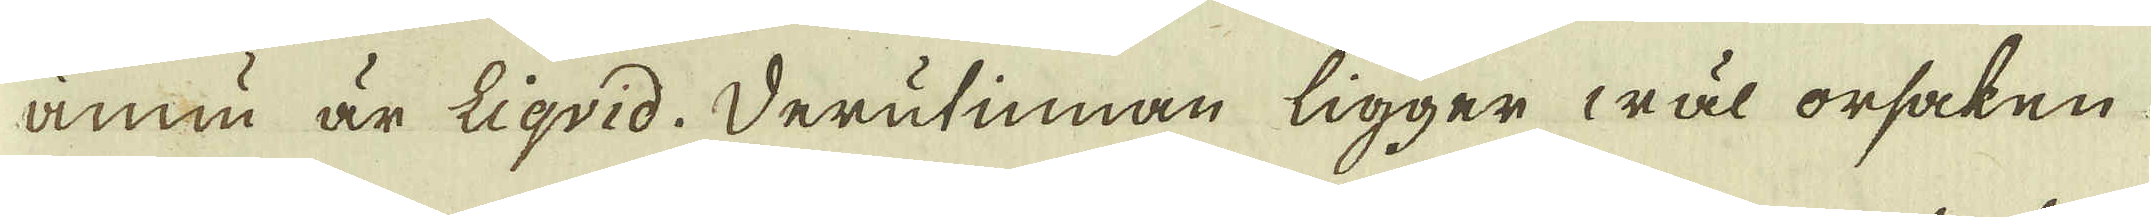ännu är Liqvid. Derutinnan ligger wäl orsaken
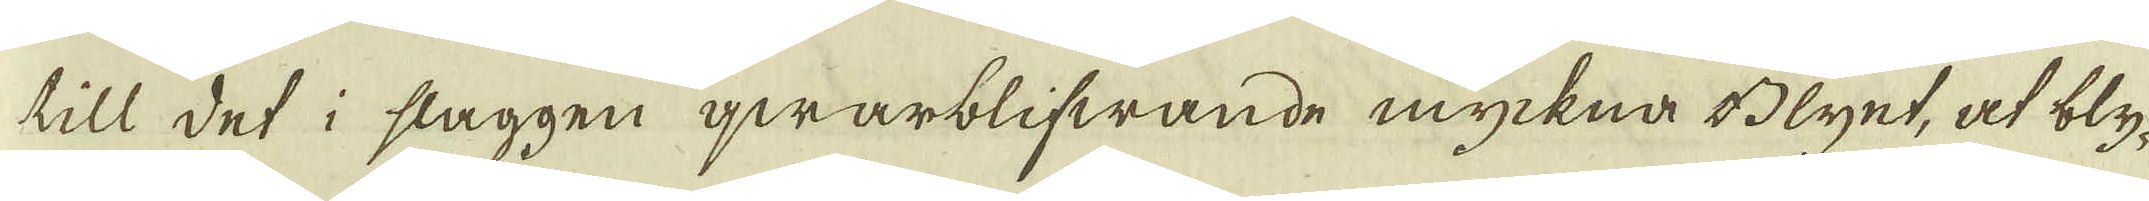till det i slaggen qwarblifwande myckna Blyet, at bly-
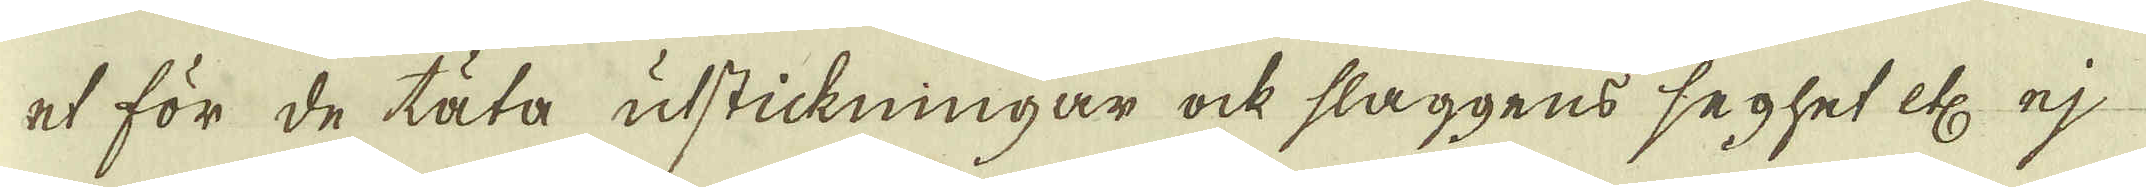et för de täta utstickningar ock slaggens seghet etc ej
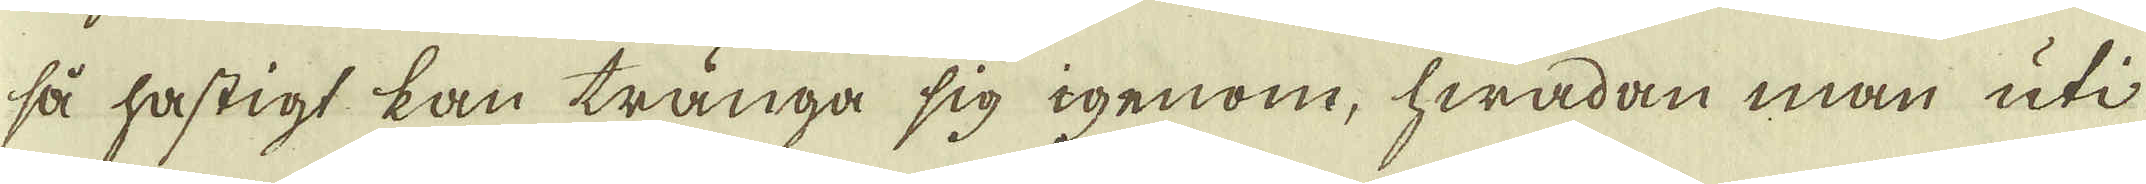så hastigt kan tränga sig igenom, hwadan man uti
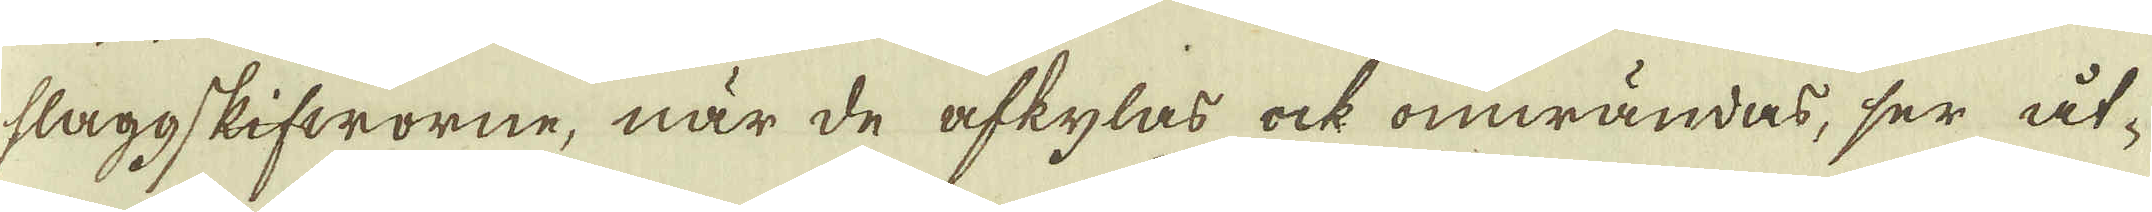slaggskifworne, när de afkylas ock omwändas, ser åt-
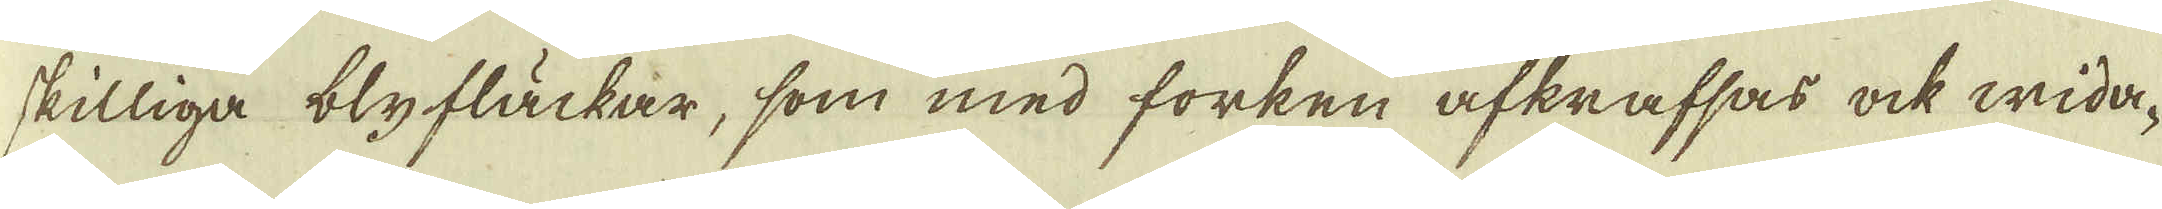skilliga blyfläckar, som med forken afkrafsas ock wida-
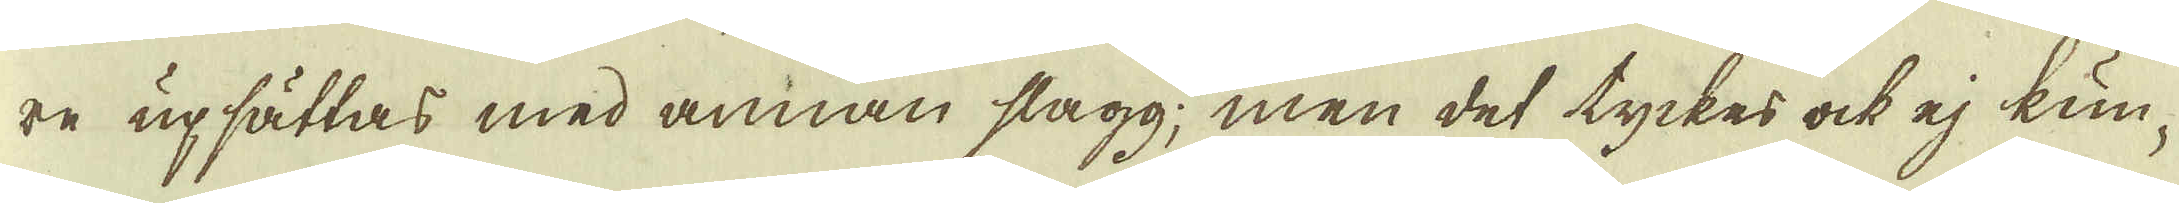re upsättas med annan slagg; men det tyckes ock ej kun-
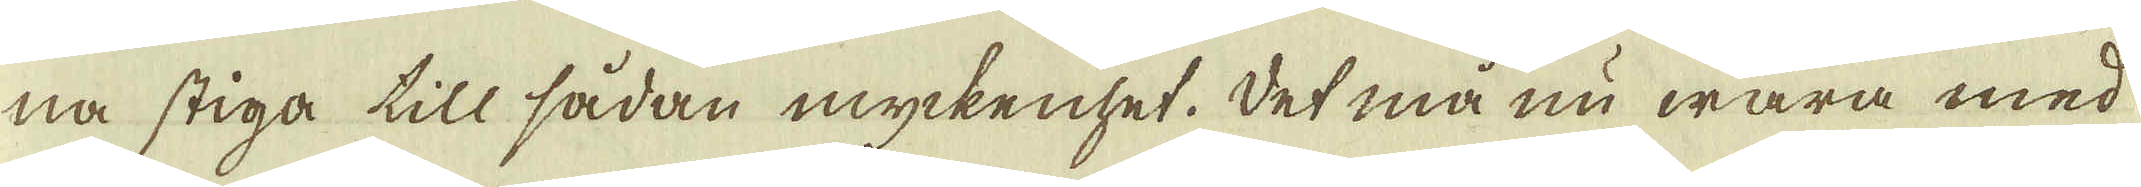na stiga till sådan myckenhet. Det må nu wara med
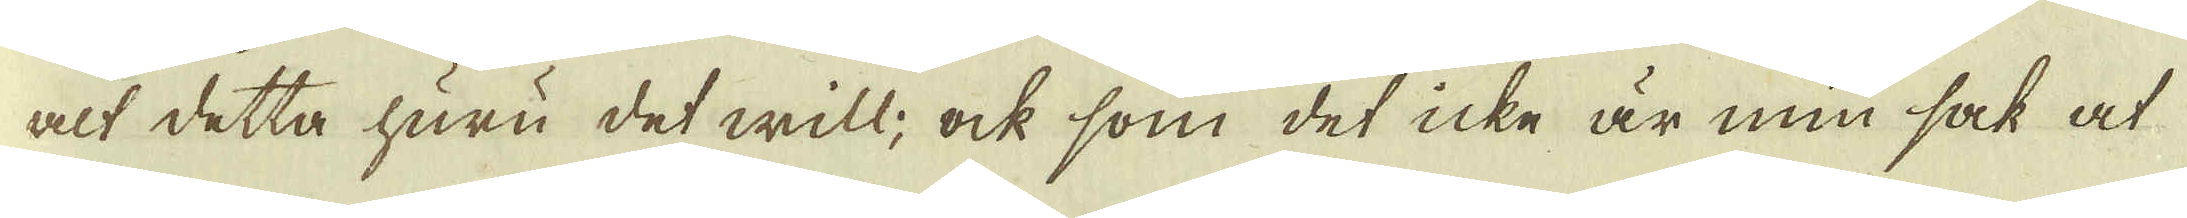alt detta huru det will; ock som det icke är min sak at
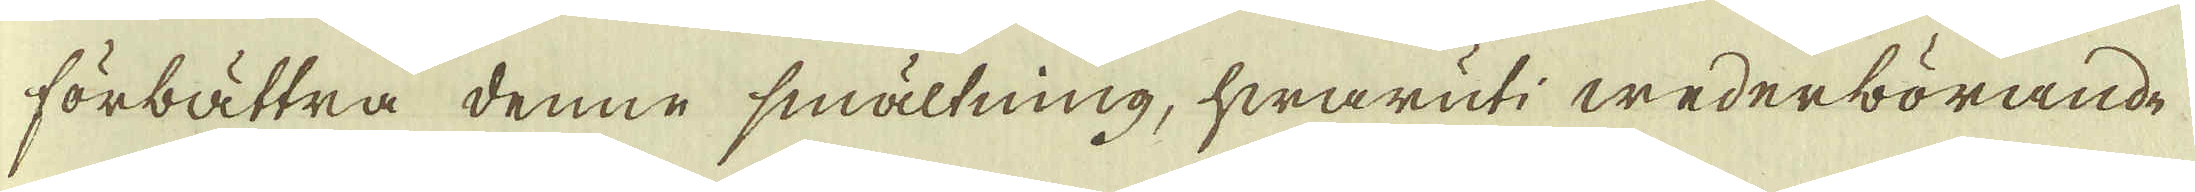förbättra denne smältning, hwaruti wederbörande
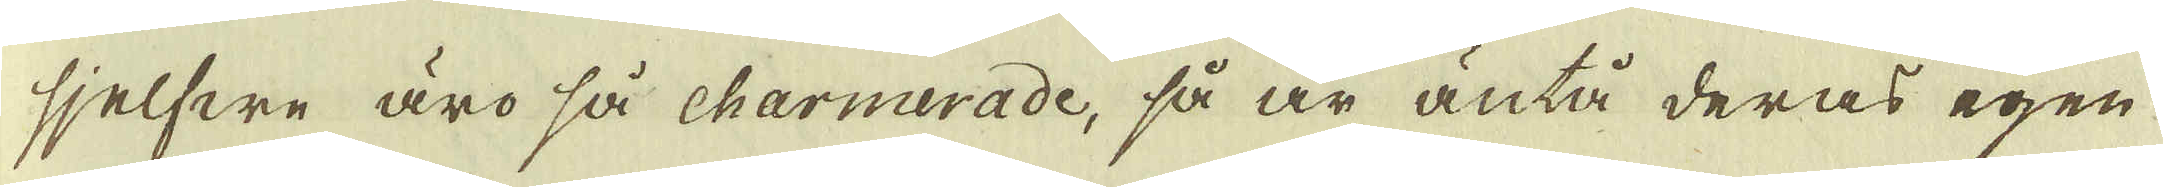sjelfwe äro så charmerade, så är äntå deras egen
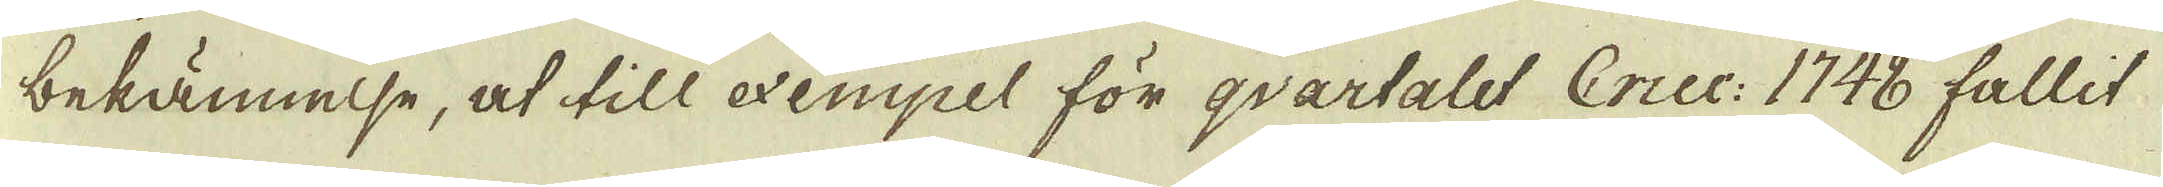bekännelse, at till exempel för qvartalet Cruc: 1748 fallit
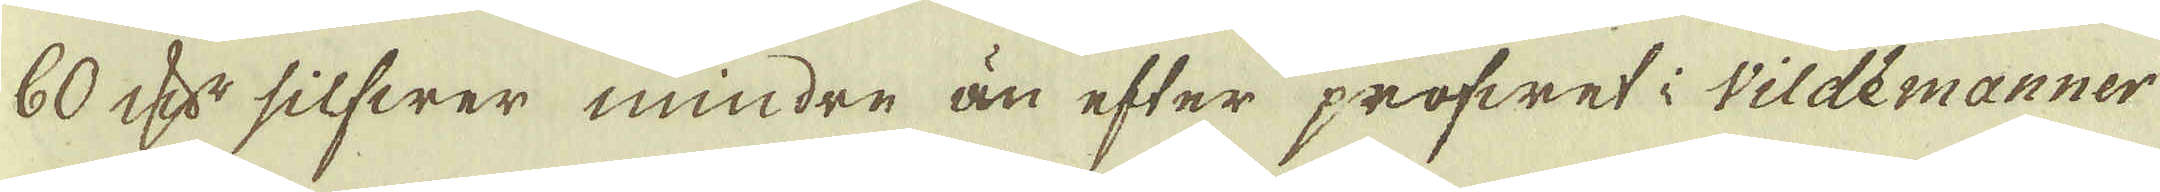60 qv:r silfwer mindre än efter profwet i wildemanner
